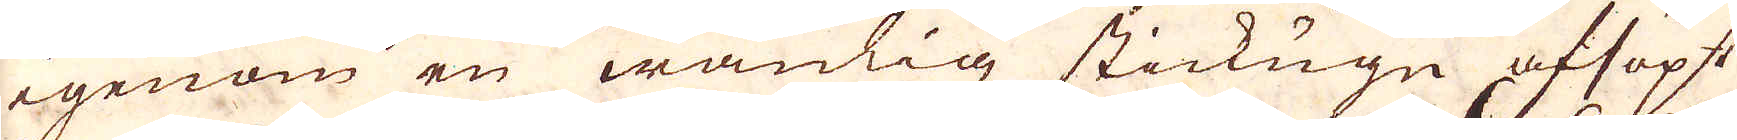igenom en wanlig stickugn aflöpt
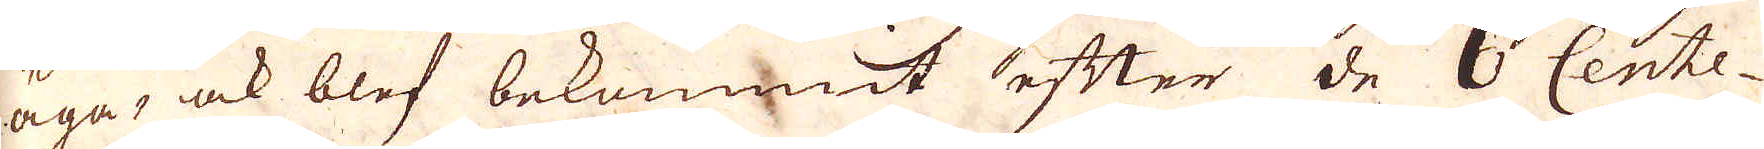äga; ock blef bekommit efter de 6 Cente-
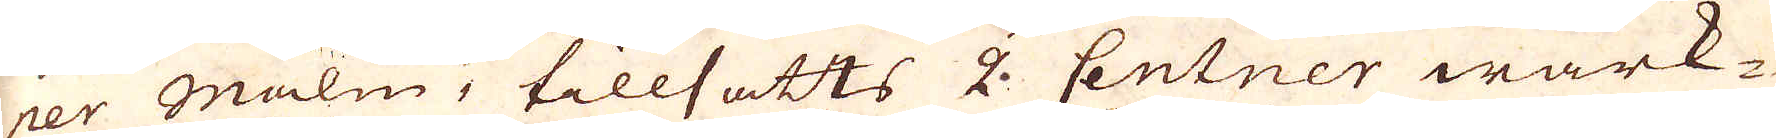ner Malm, tillsatts 2. Centner wärk-
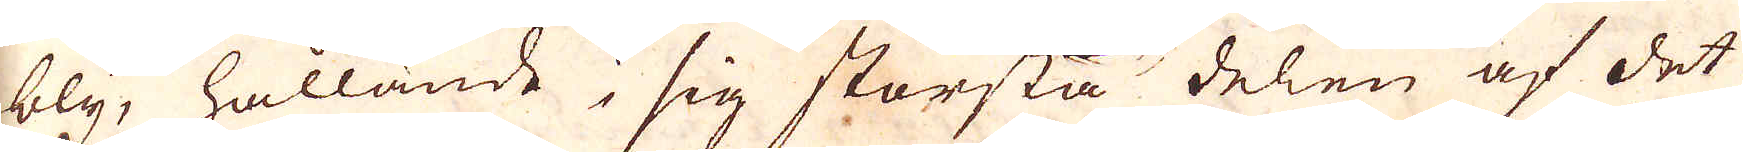bly, hällande i sig största delen af det
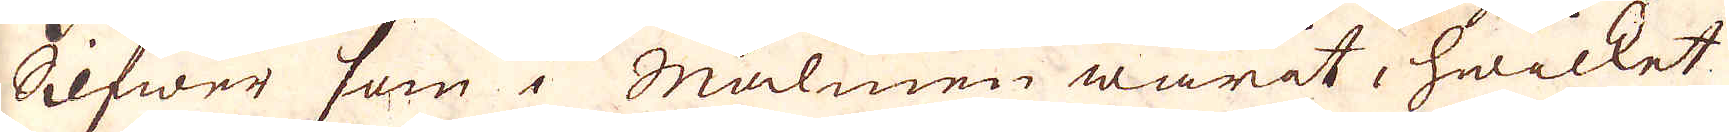Silfwer som i Mulmen warit, hwilket
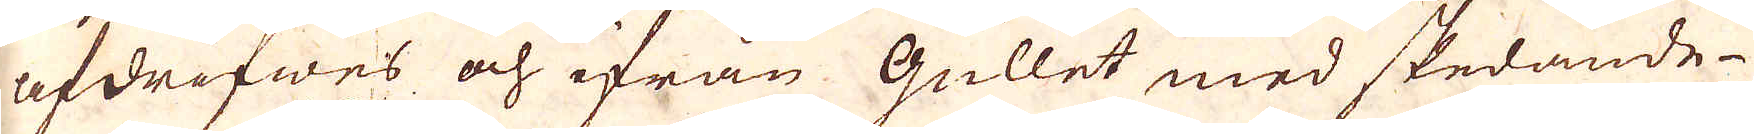afdrifwes och ifrån Gullet med skedande
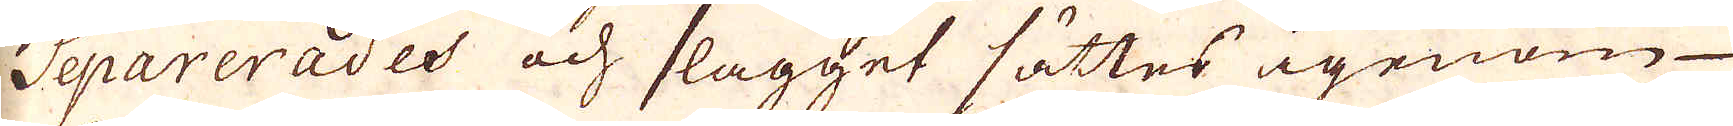Separerades och slagget sättes igenom
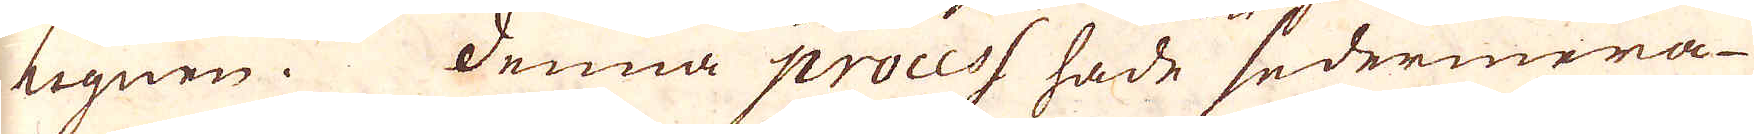ugnen. Denna process hade sedermera
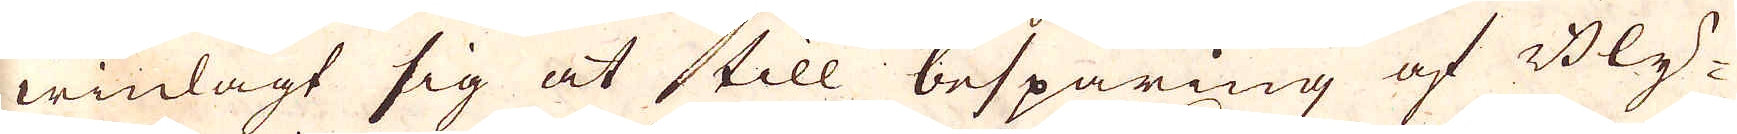winlagt sig at till besparing af Bly-
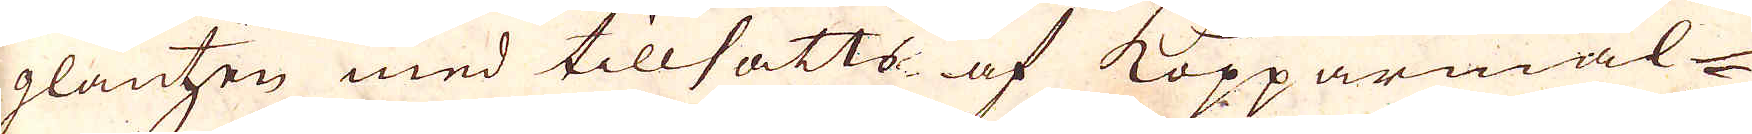glantzen med tillsatts af Kopparmal-
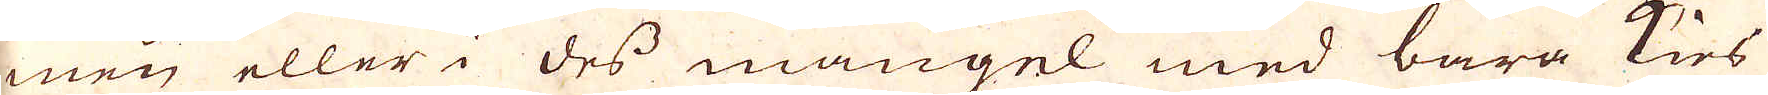men eller i des mangel med bara kies
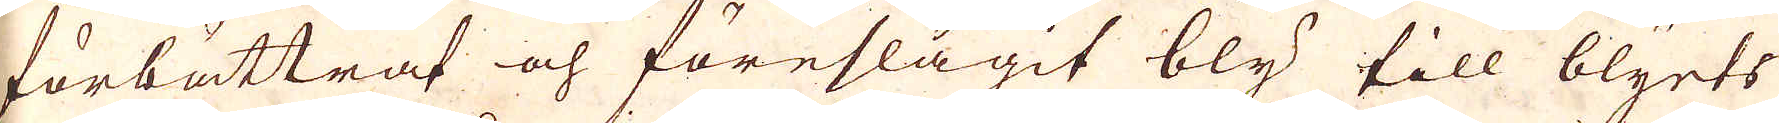förbättrat och föreslagit bly till blyerts
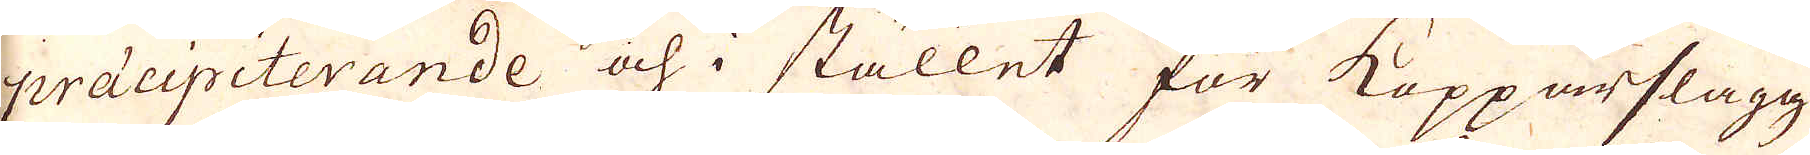präcipiterande och i stället för Kopparslagg
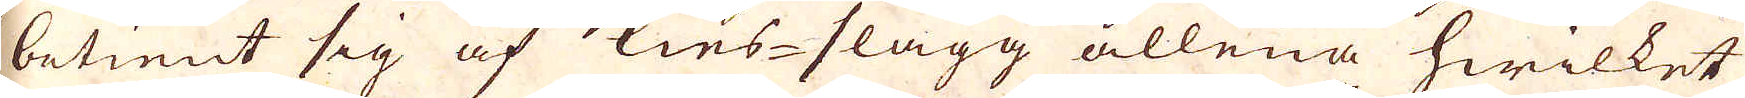betient sig af kies-slagg allena hwilket
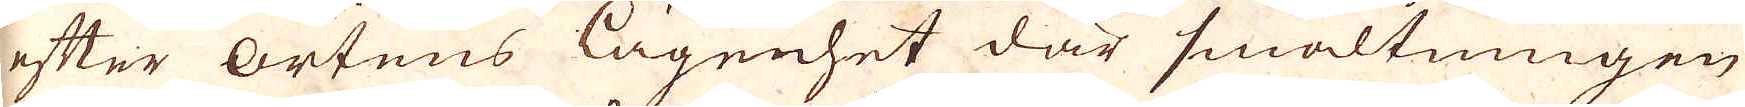efter ortens lägenhet där smältningen
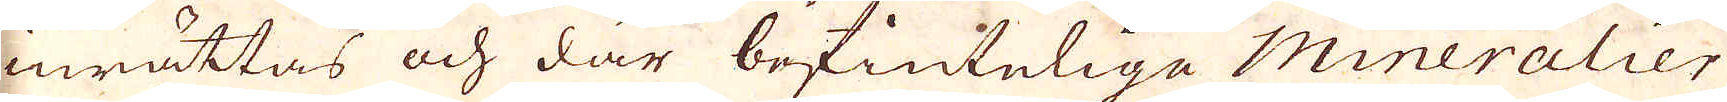inrättas och där befintelige Mineralier
